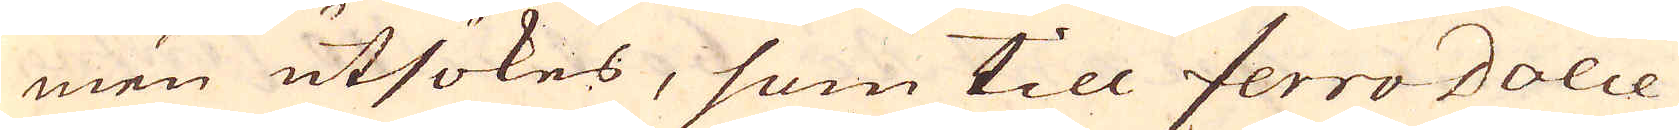men utsökes, som till ferro dolce
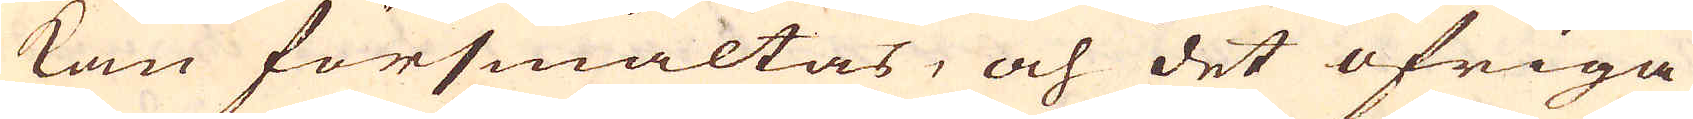kan försmältas, och det öfriga
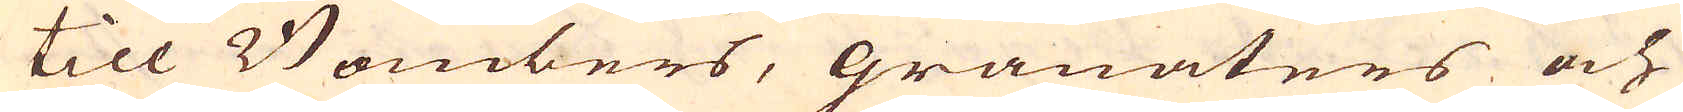till Bombers, granaters och
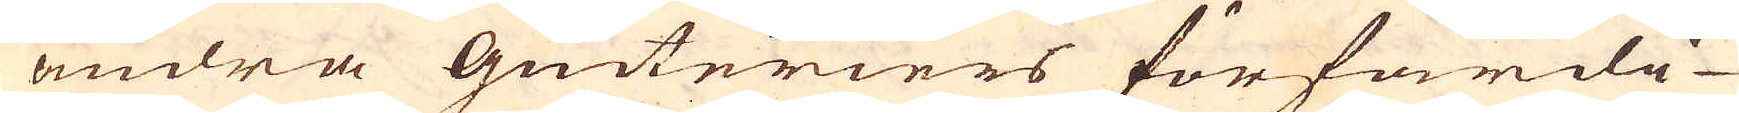andra Giuteriers förfärdi-
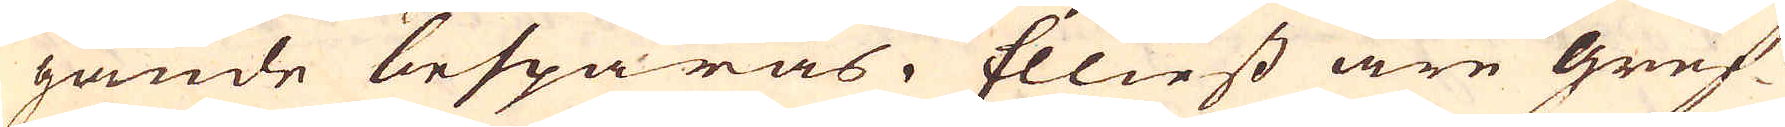gande besparas. Elliest äre gruf-
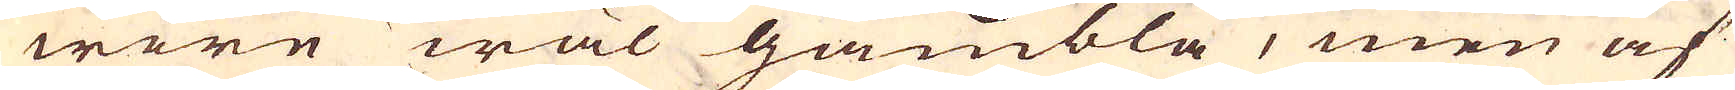wore wäl gambla, men af
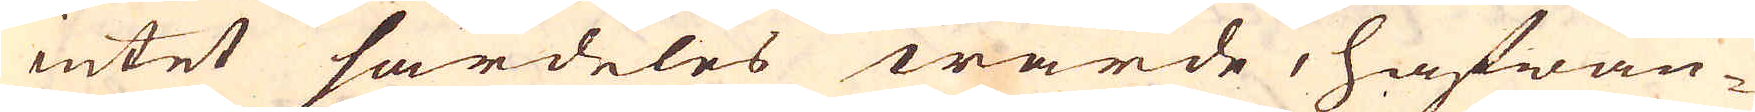intet särdeles wärde, hafwan-
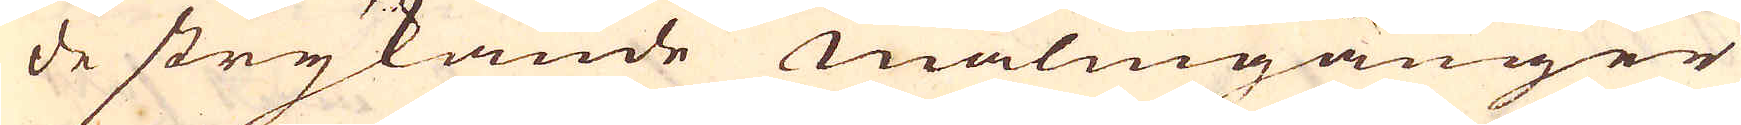de strykande malmgånger
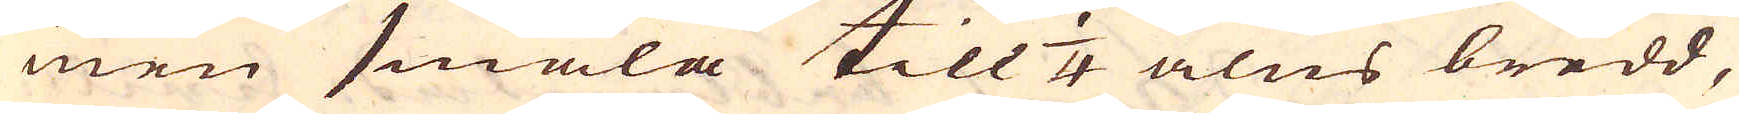men smala till 1/4 alns bredd,
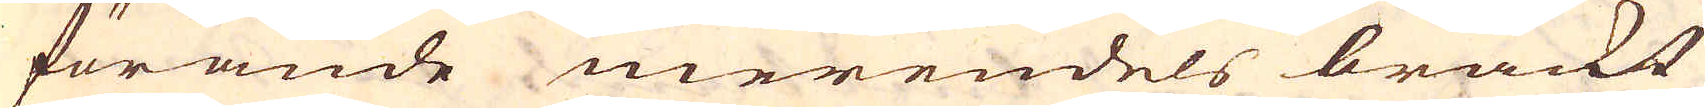förande merendels bräckt
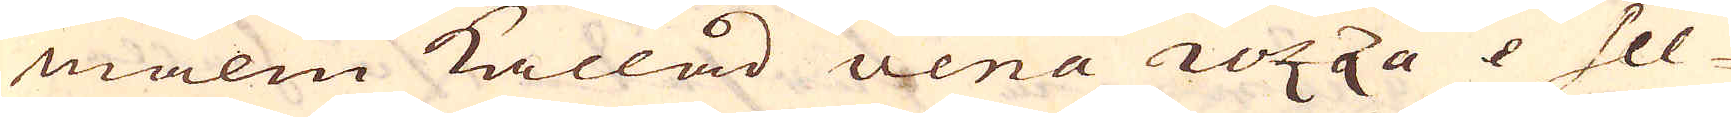malm kallad vena rozza & Sel-
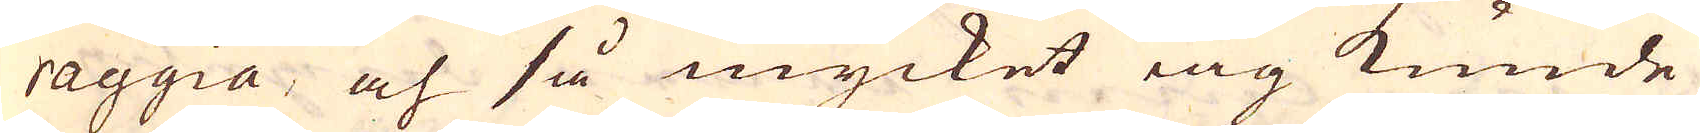raggia, och så mycket iag kunde
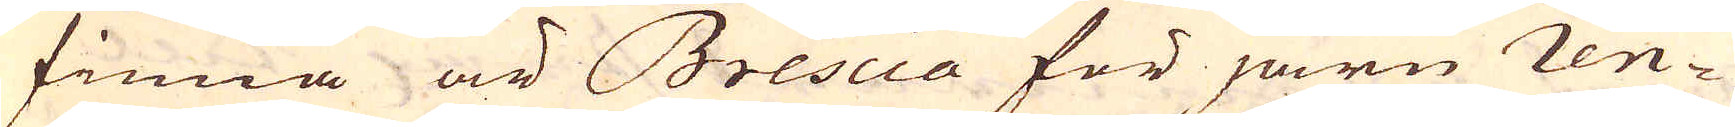finna är Brescia för järn ren-
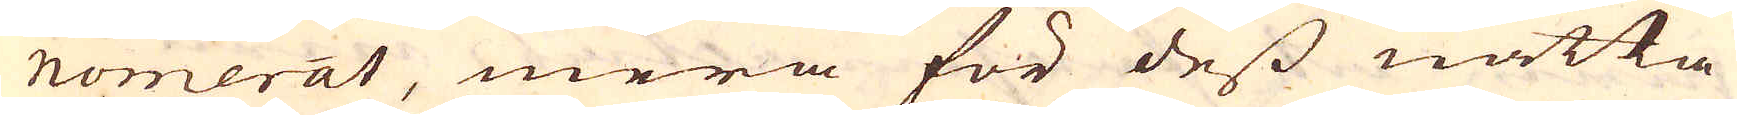nomerat, mera för dess nätta
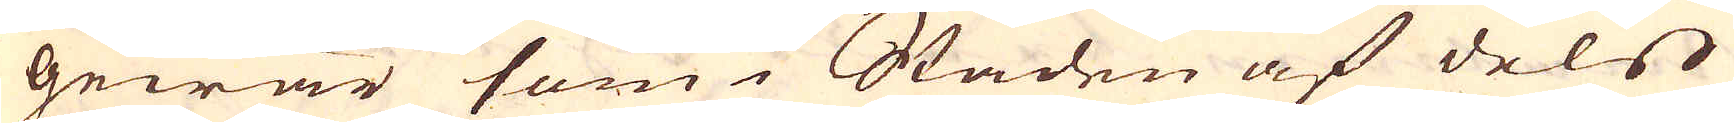Gewär som i Staden af dels
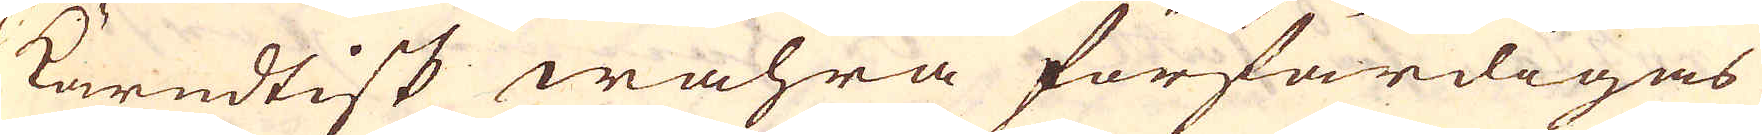Kärndtisk wahra förfärdigas
